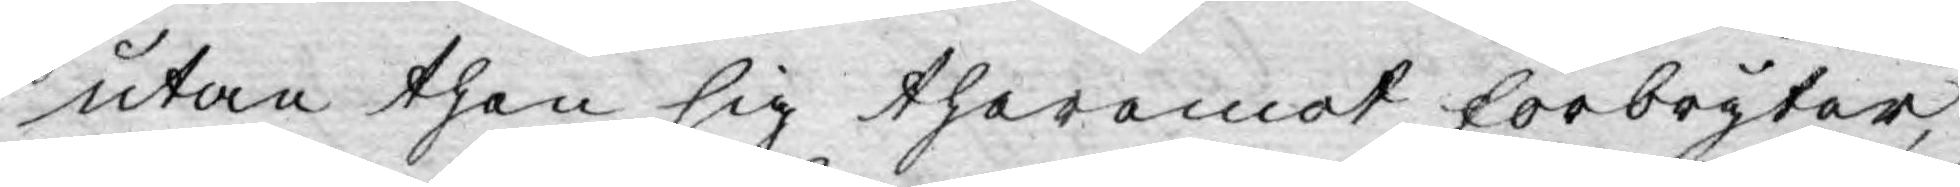utan then sig theremot förbryter,
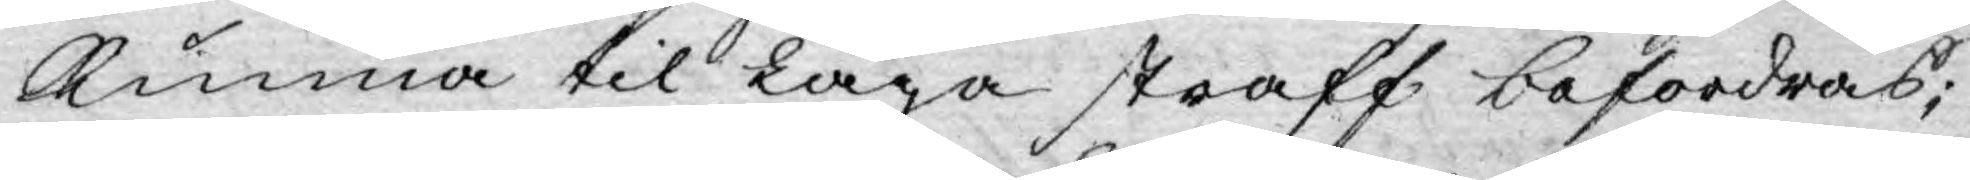kunna til laga straff befordras;
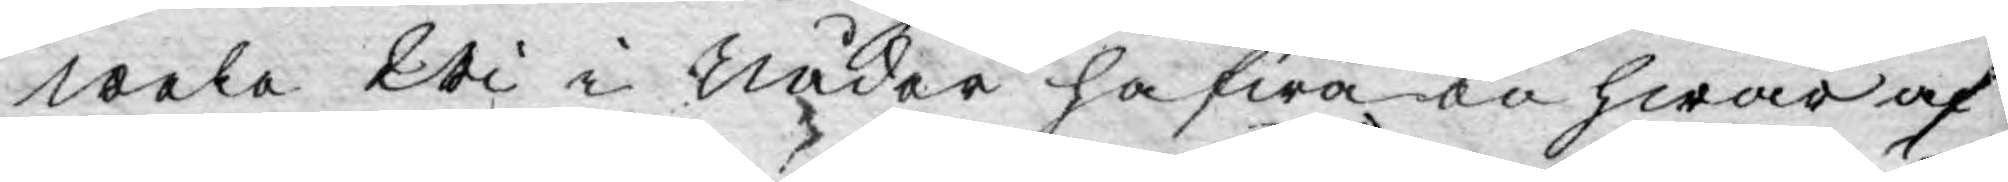wela Wi i Nåder hafwa en hwar af
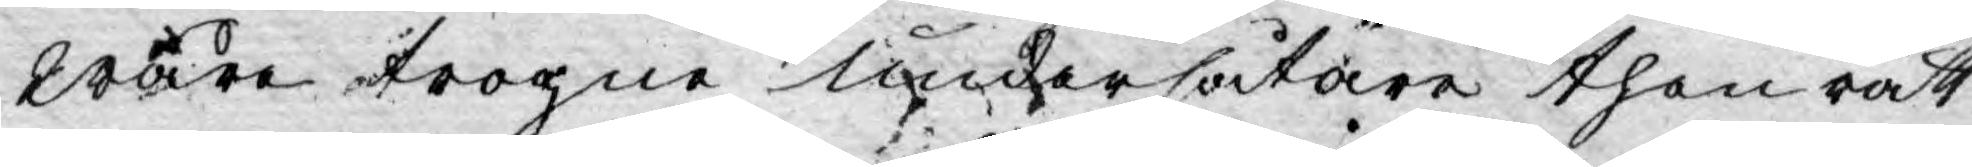wåre trogne undersåtare then rätt
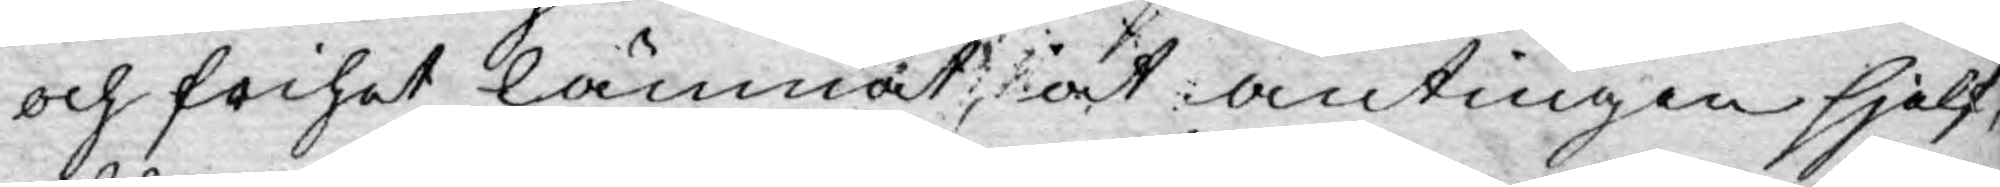och frihet lämnat, at antingen sjelf,
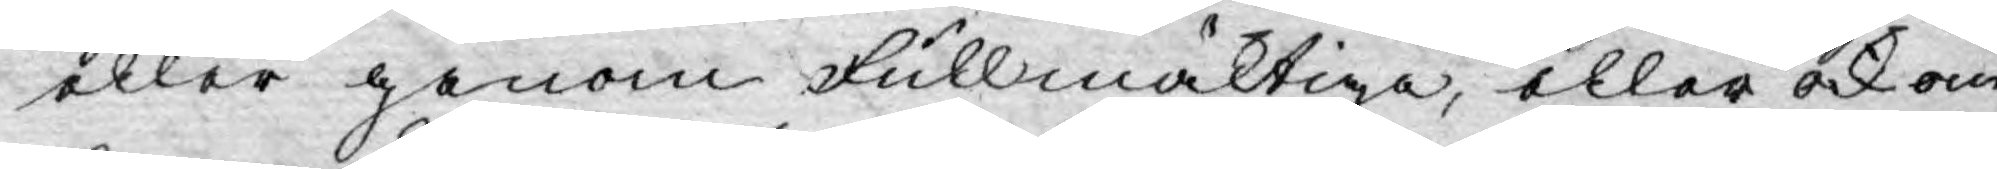eller genom fullmäktiga, eller ock om
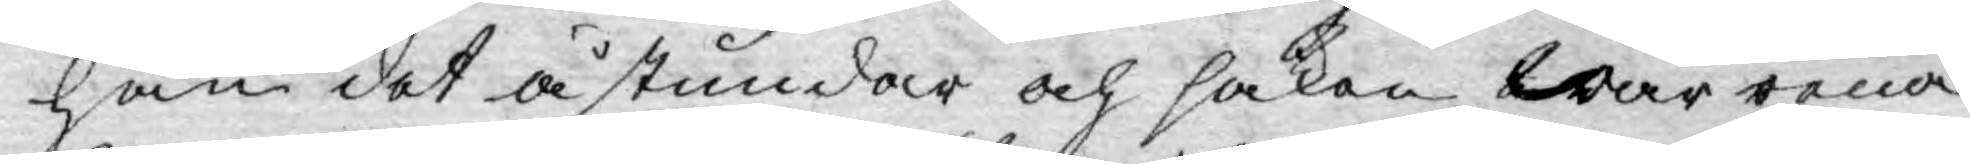han det åstundar och saken wår rena
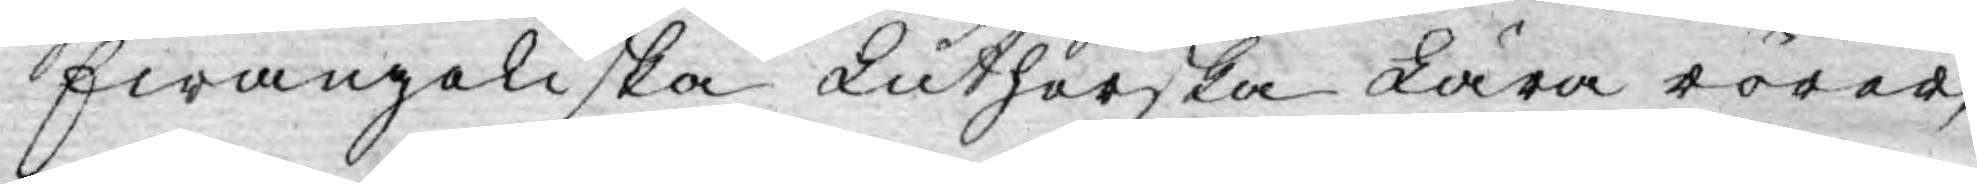Ewangeliska Lutherska Lära rörer,
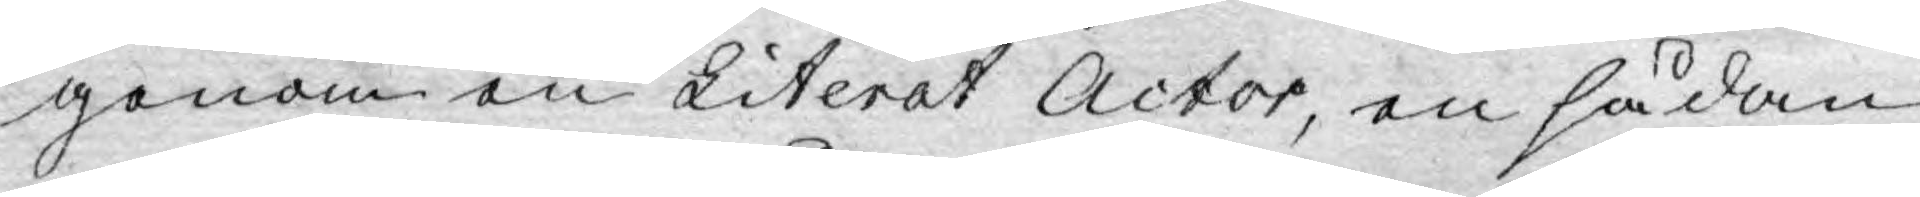genom en Literat Actor, en sådan
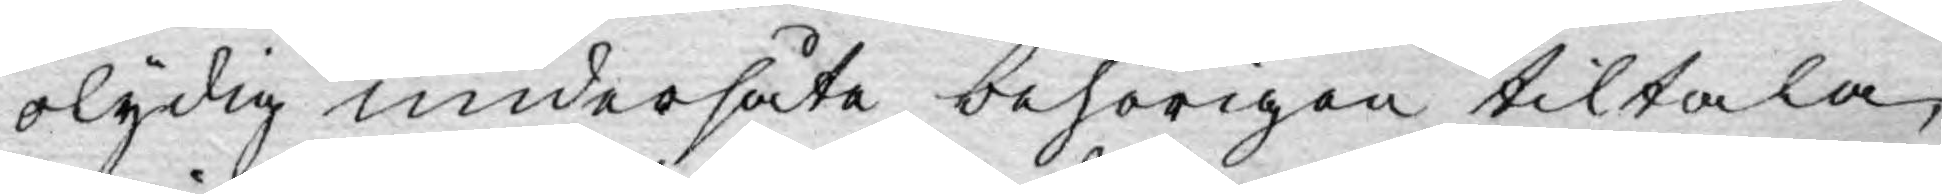olydig undersåte behörigen tiltala,
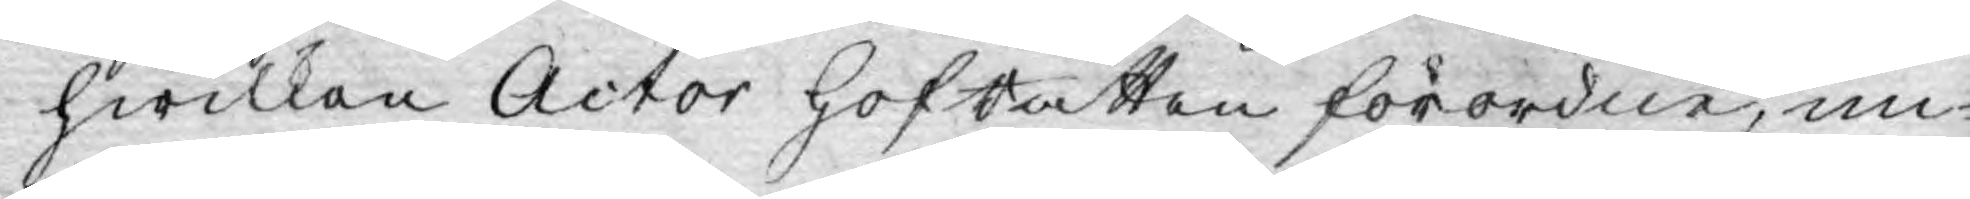hwilken Actor HofRätten förordne, un¬
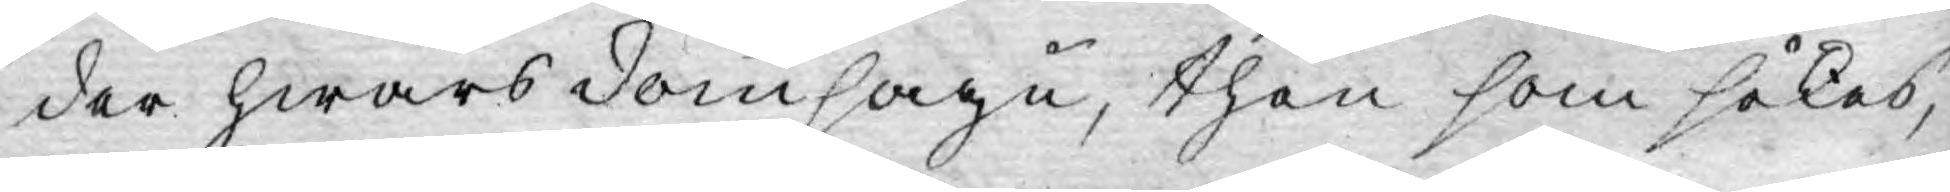der hwars domsagu, then som sökes,
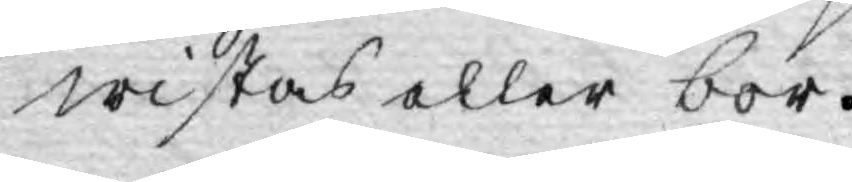wistas eller bor.
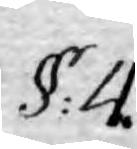§: 4.
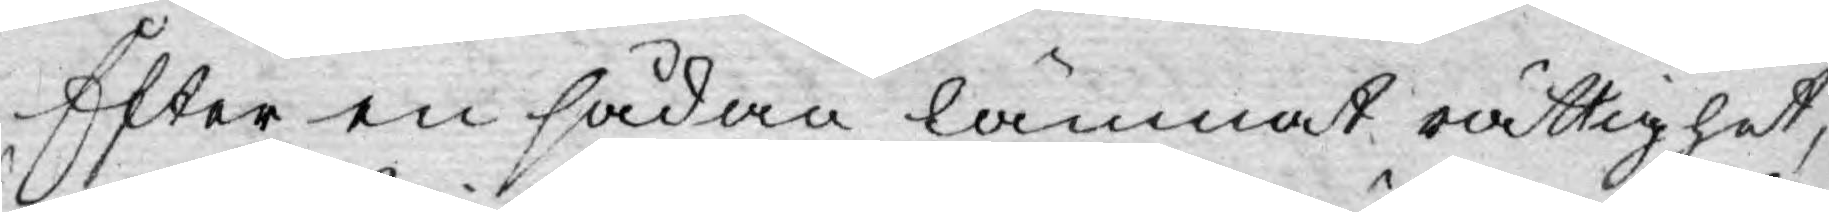Efter en sådan lämnat rättighet,
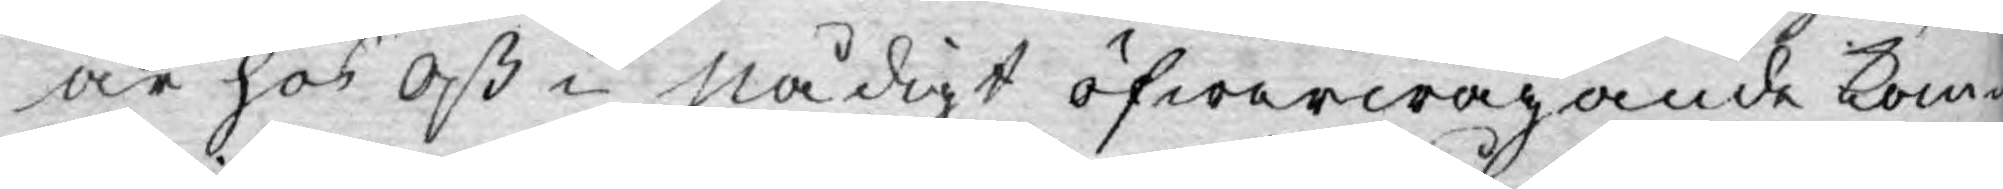är hos Oß i Nådigt öfwerwägande kom¬
